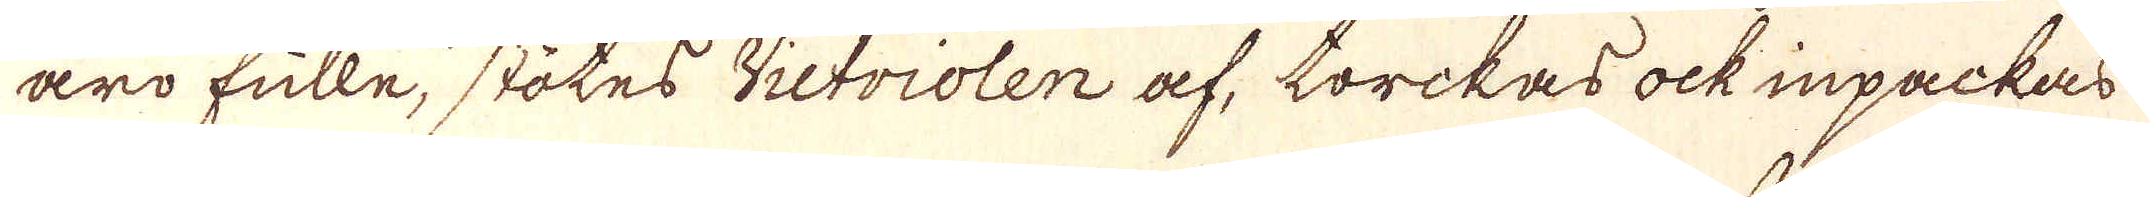äro fulle, stötes Victriolen af, torckas ock inpackas
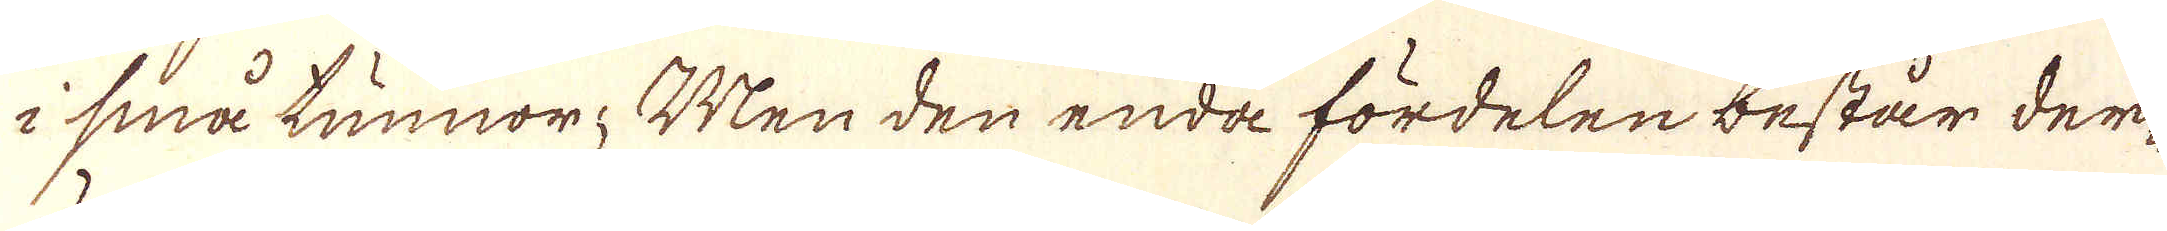i små tunnor. Men den enda fördelen består der-
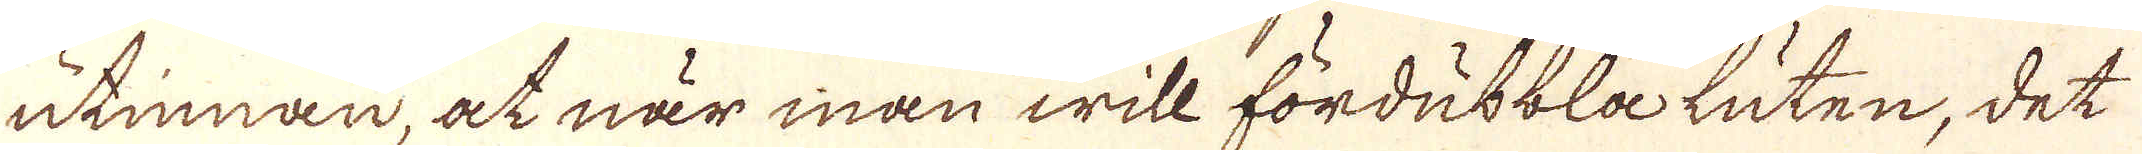utinnan, at när man will fördubbla luten, det
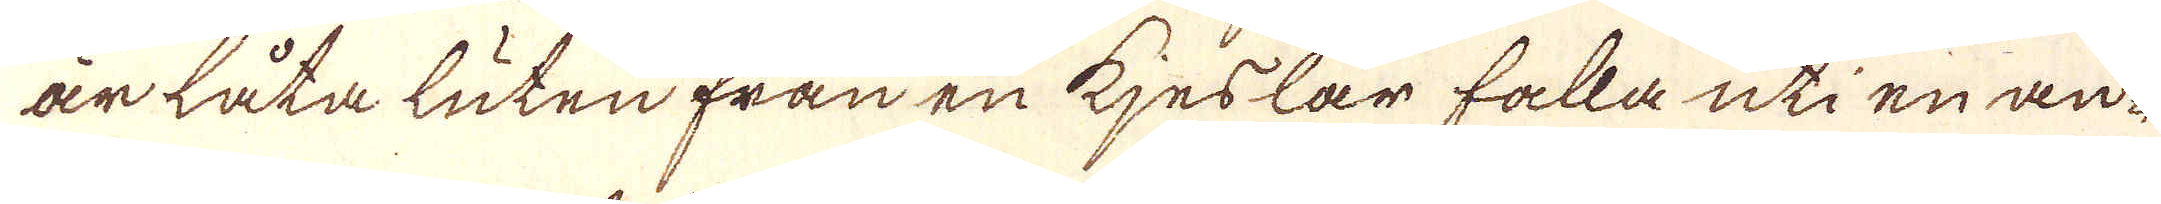är låta luten från en kjeslar falla uti en an-
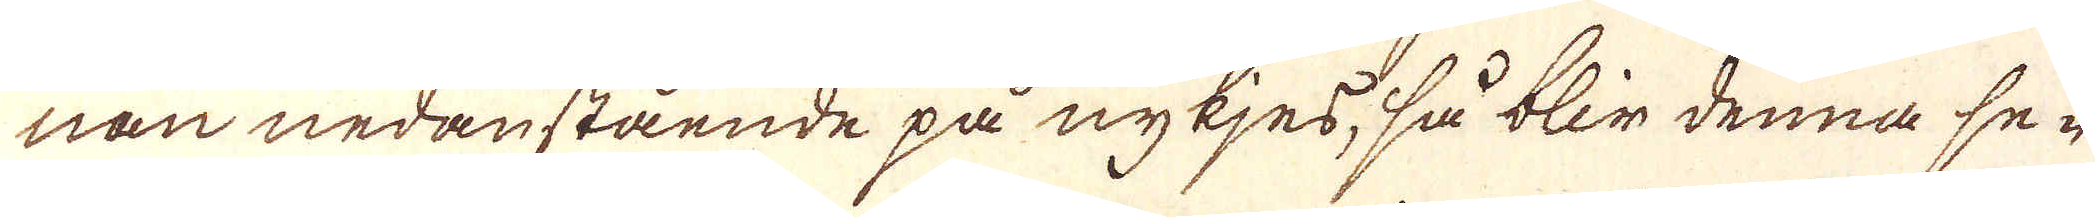nan nedanstående på nykjes, så blir denna se-
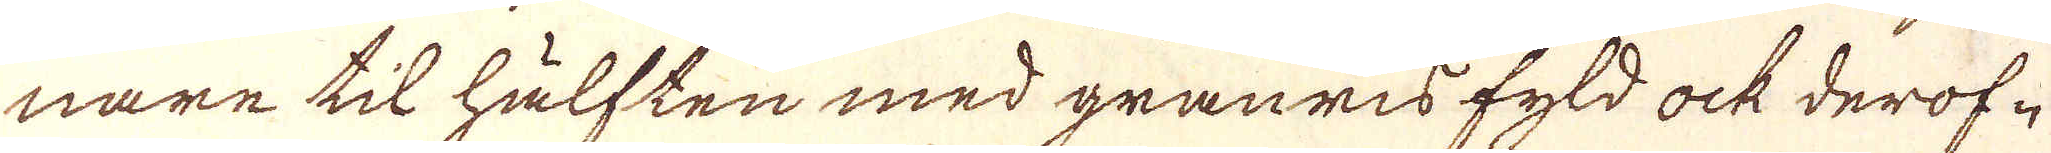nare til hälften med grannis fyld ock derof-
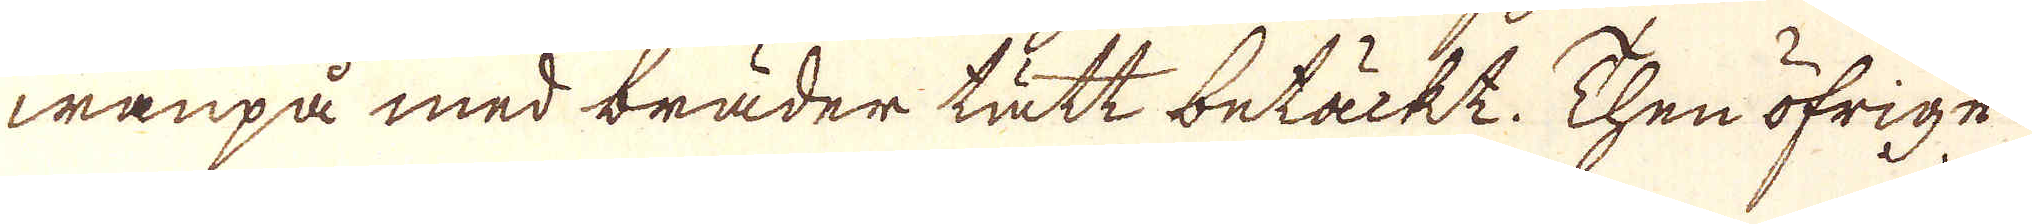waupå med bräder tätt betäckt. Then öfrige
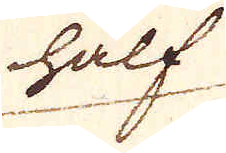hälf
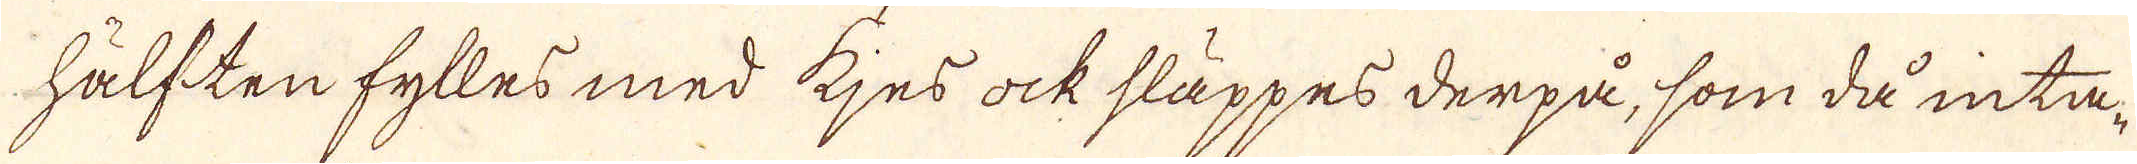hälften fylles med kjes ock släppes derpå, som då inta-
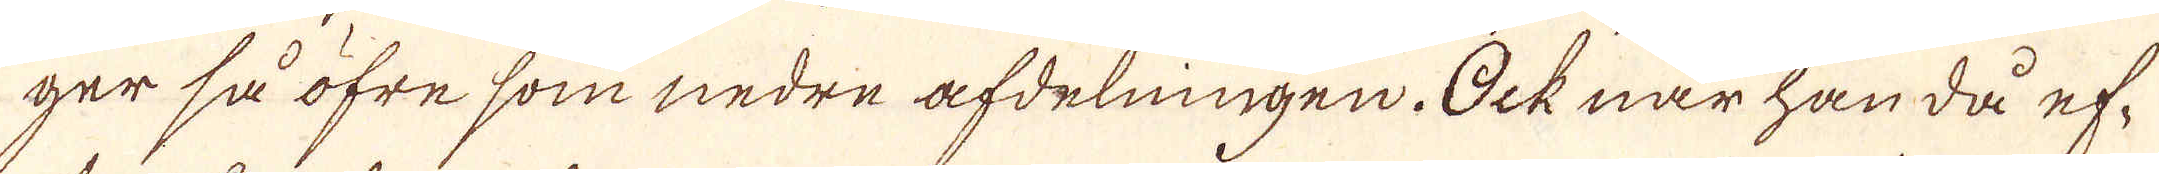ger så öfre som nedre afdelningen. Ock när han då ef-
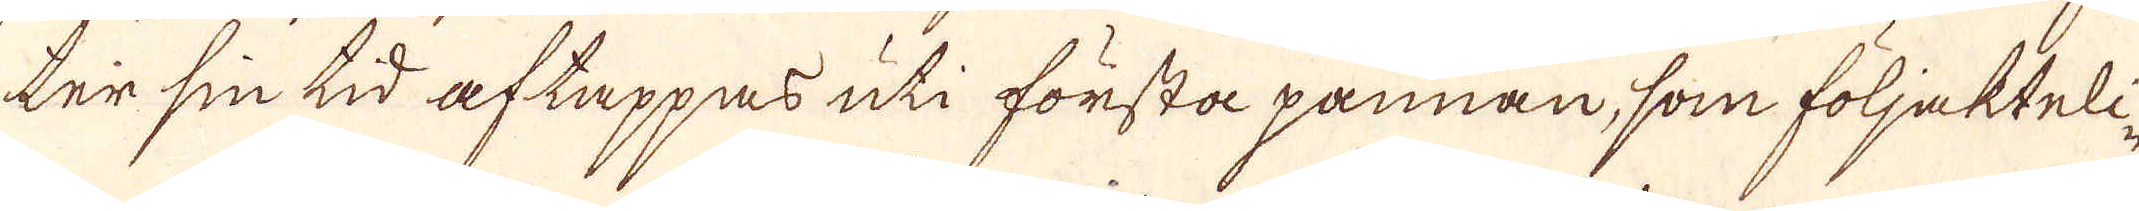ter sin tid aftappas uti första pannan, som följakteli-
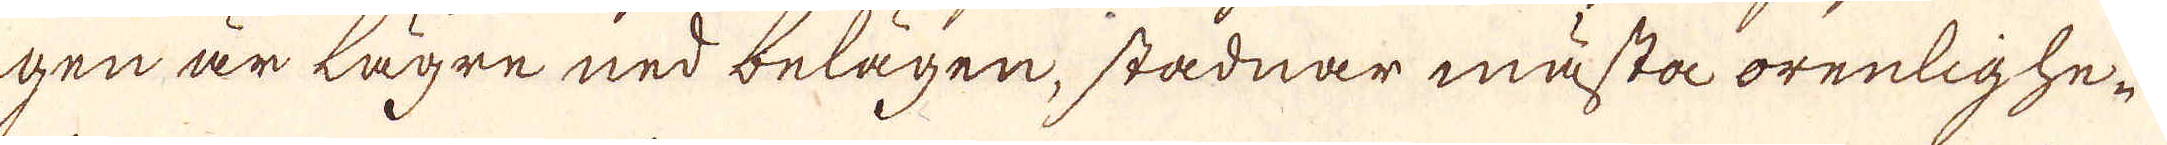gen är lägre ned belägen, stadnar mästa orenlighe-
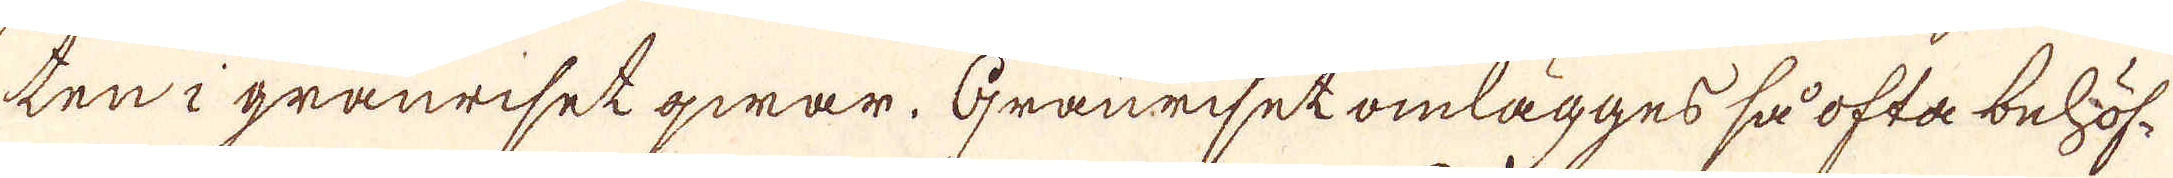ten i granriset qwar. Granriset omlägges så ofta behöf-
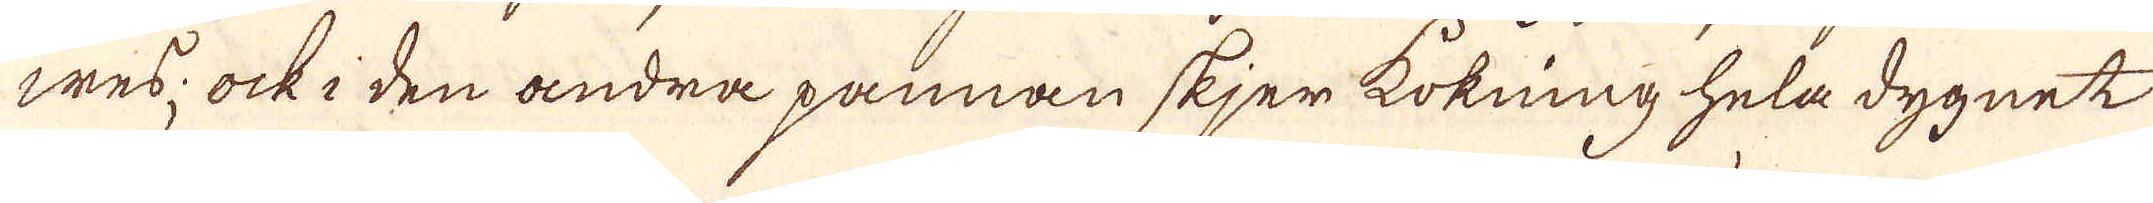wes; ock i den andra pannan skjer kokning hela dygnet
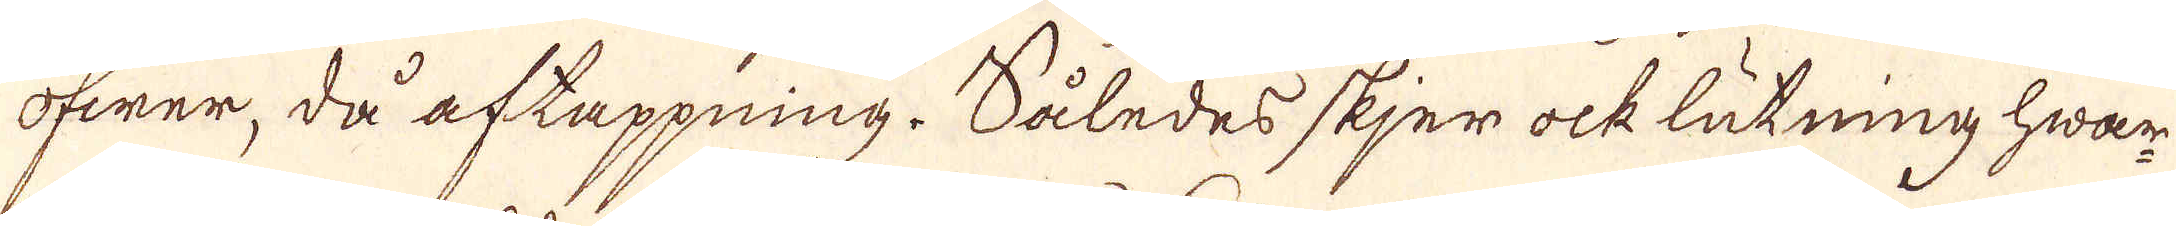öfwer, då aftappning. Således skjer ock lutning hwar
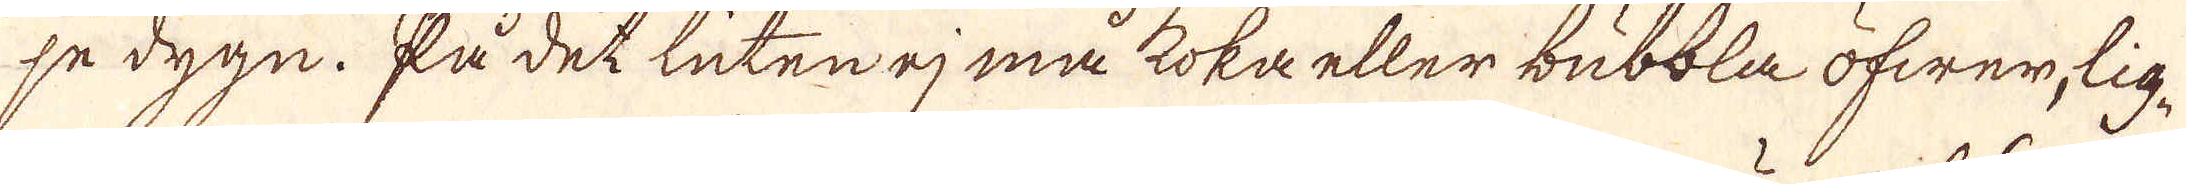pe dygn. På det luten ej må koka eller bubbla öfwer, lig-
